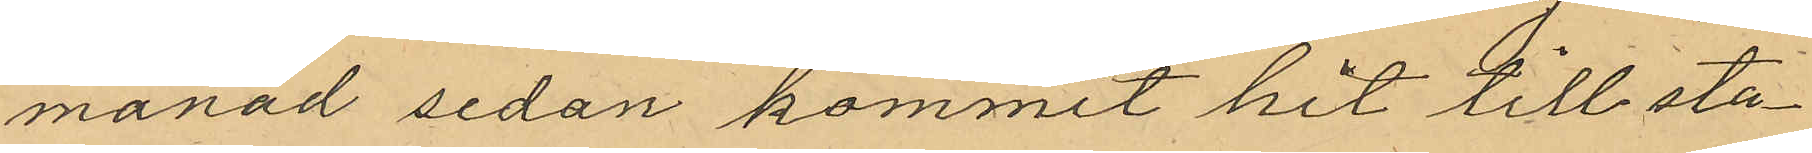månad sedan kommit hit till sta¬
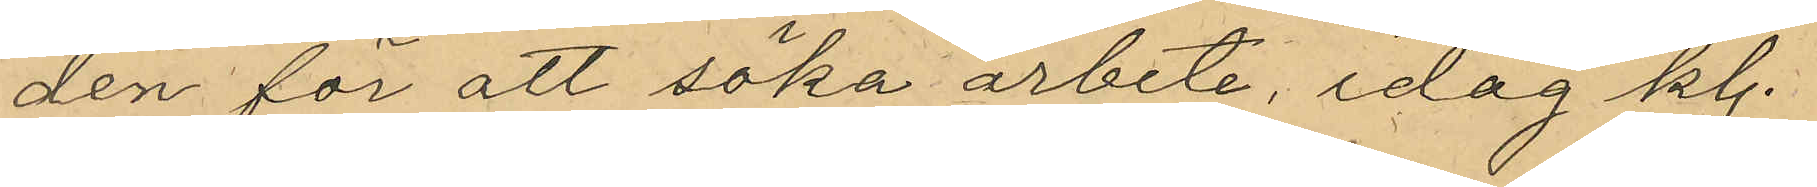den för att söka arbete, idag kl.
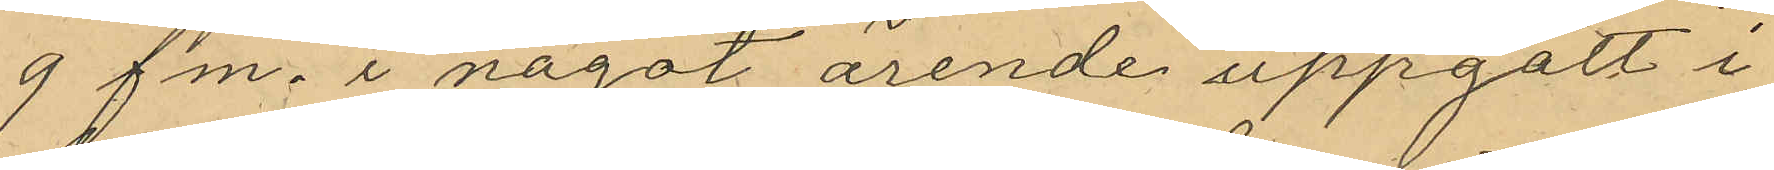9 fm. i något ärende uppgått i
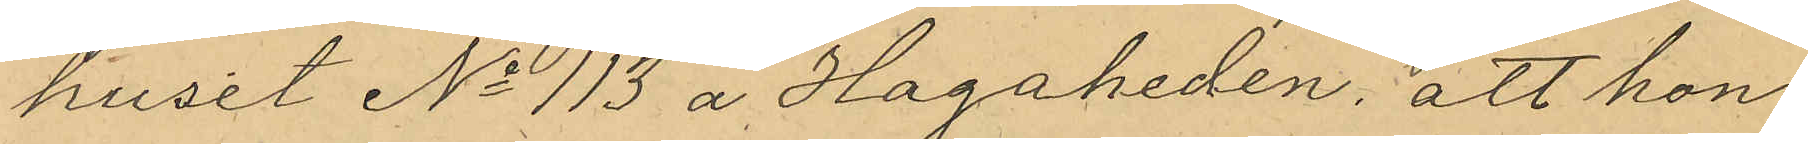huset No 113 å Hagaheden; att hon
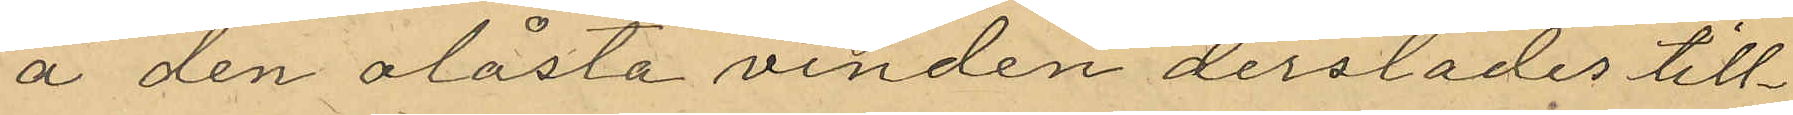å den olåsta vinden derstädes till¬
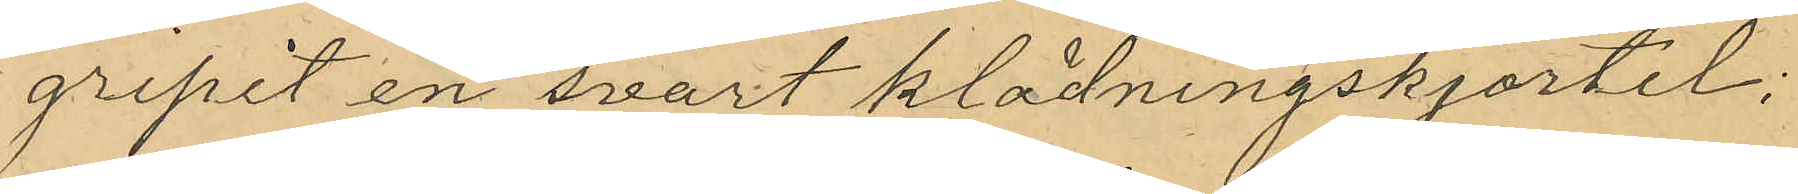gripit en svart klädningskjortel;
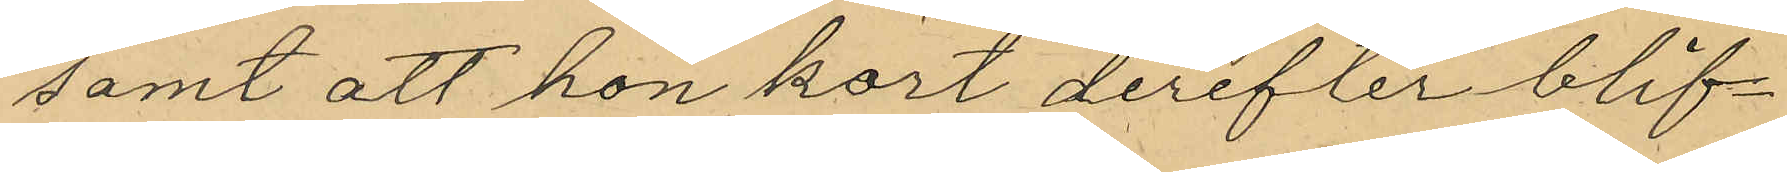samt att hon kort derefter blif¬
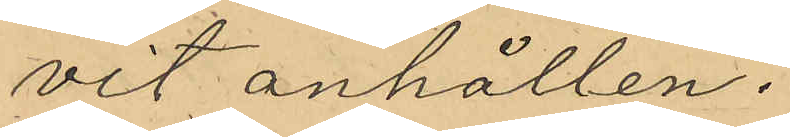vit anhållen.
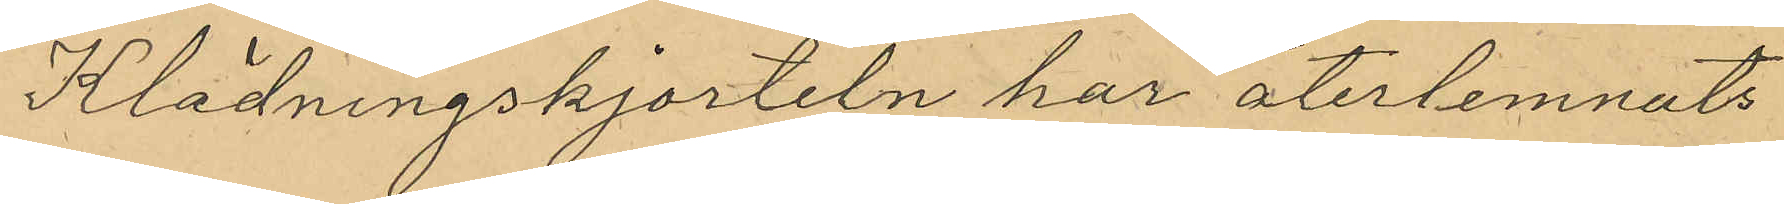Klädningskjorteln har återlemnats
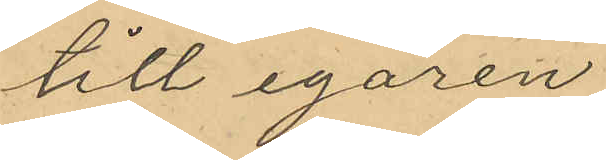till egaren.
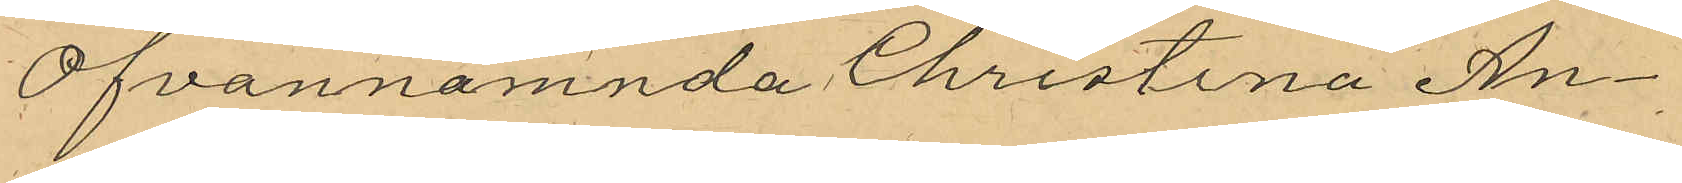Ofvannämnda Christina An¬
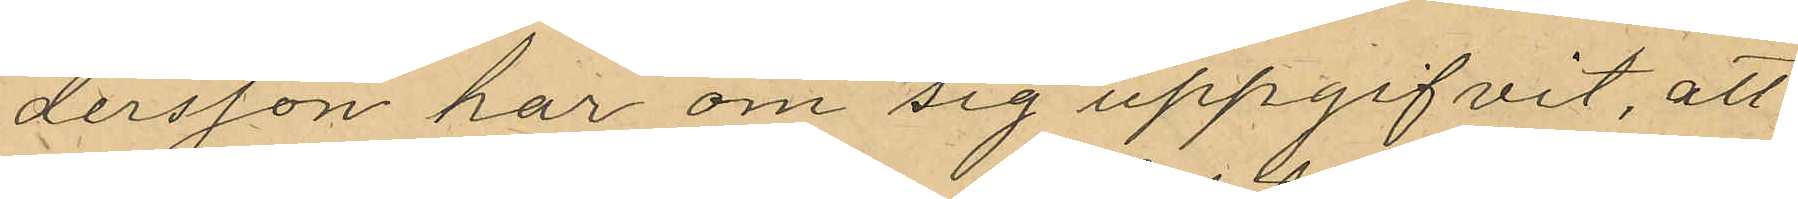dersson har om sig uppgifvit, att
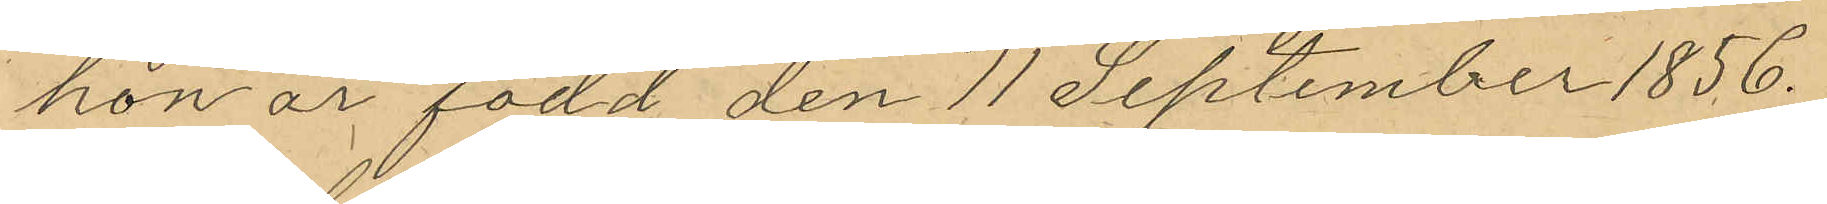hon är född den 11 September 1856.
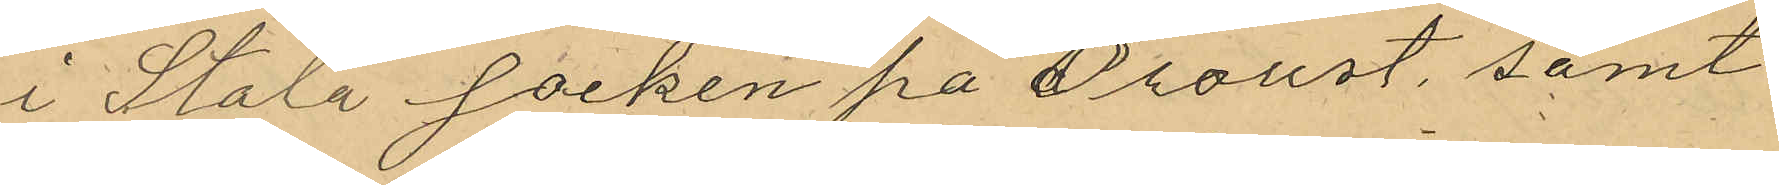i Stala socken på Orust, samt
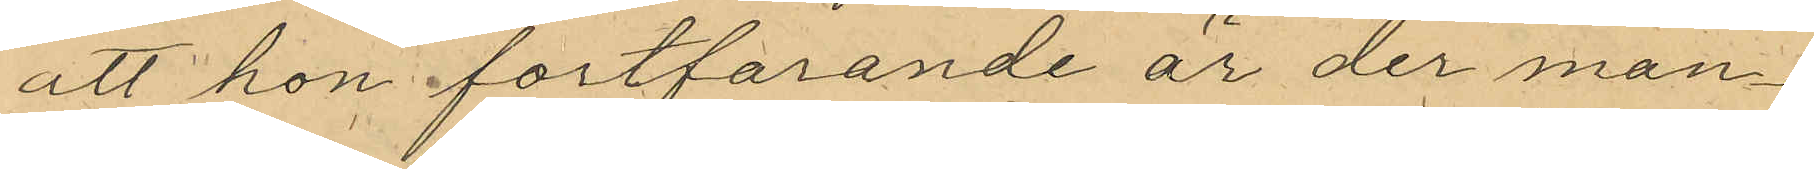att hon fortfarande är der man¬
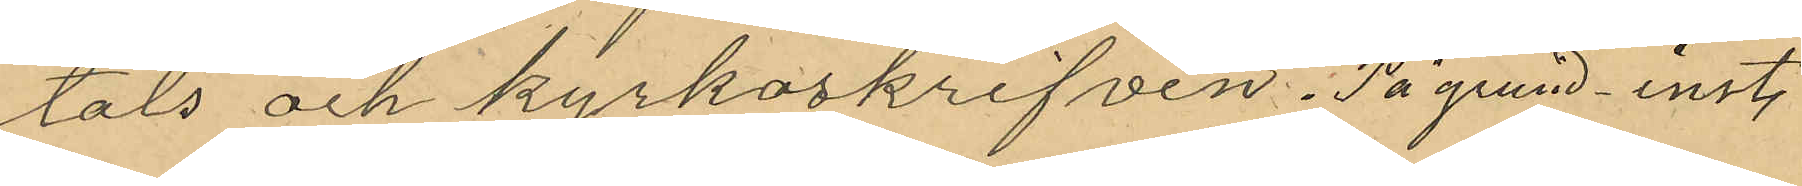tals och kyrkoskrifven. På grund. inst.
